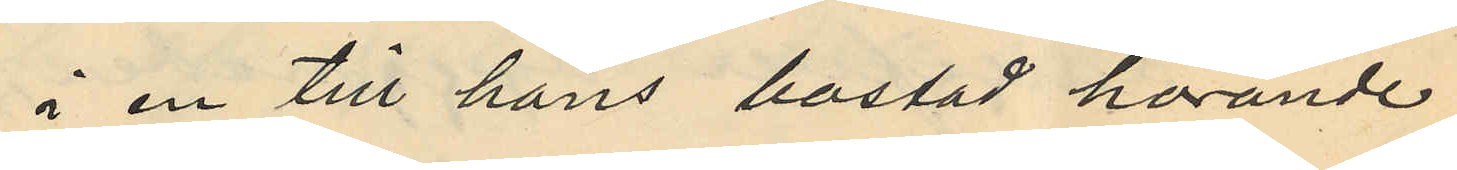å en till hans bostad hörande
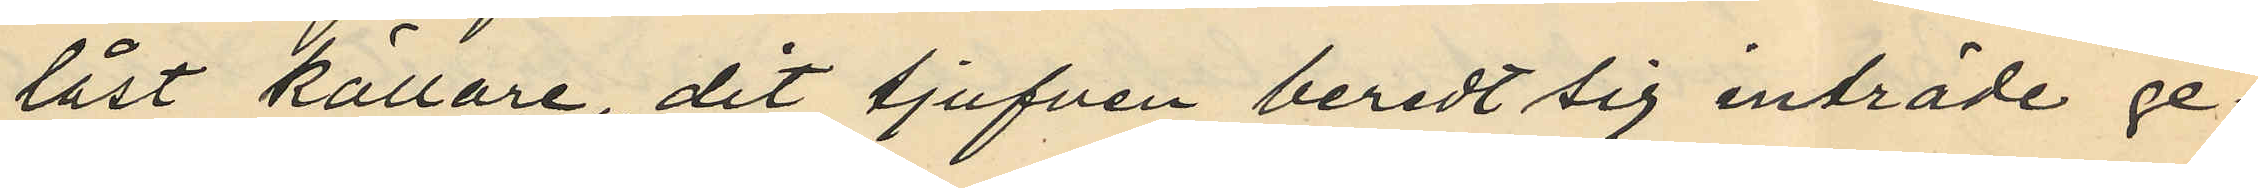låst källare, dit tjufven beredt sig inträde ge¬
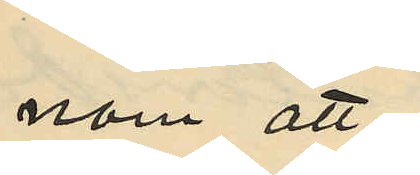nom att
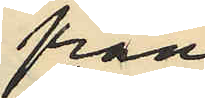från¬
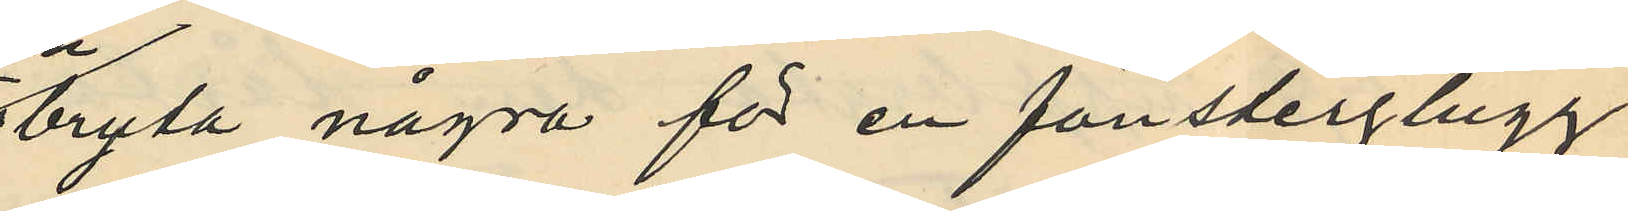bryta några för en fönsterglugg
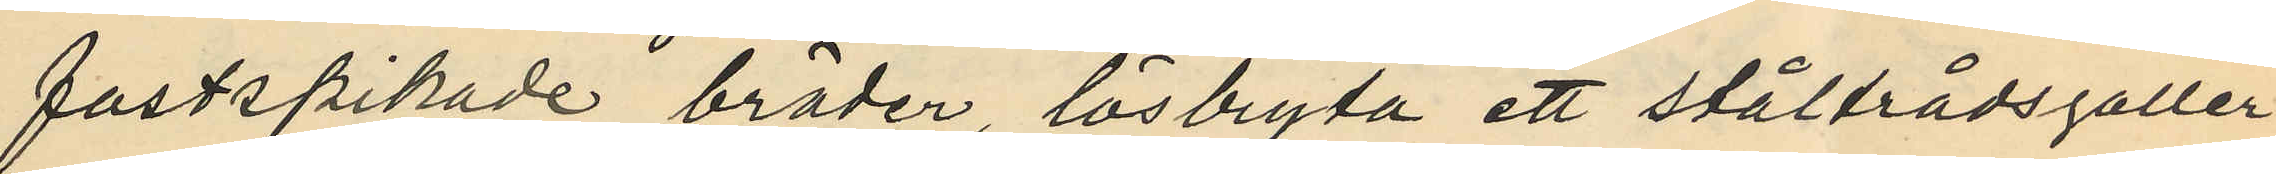fastspikade bräder lösbryta ett ståltrådsgaller
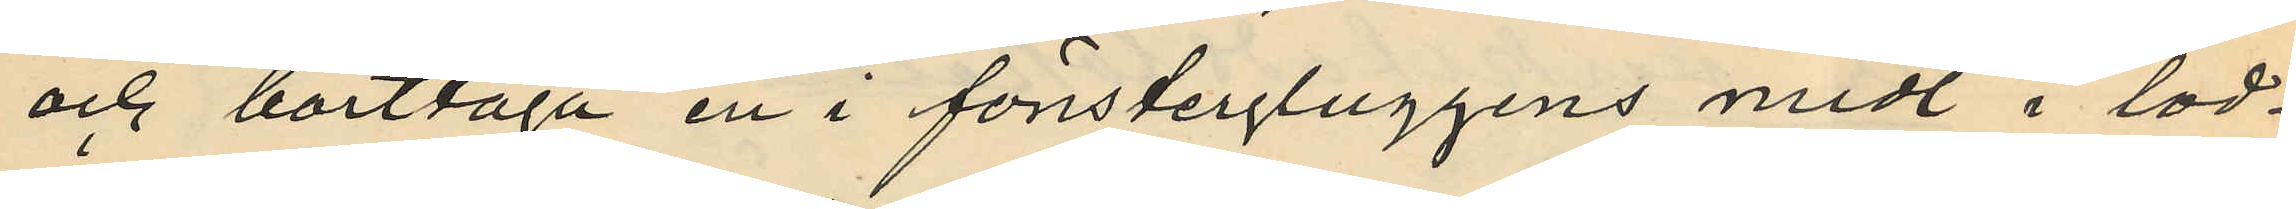och borttaga en i fönstergluggens midt i lod¬
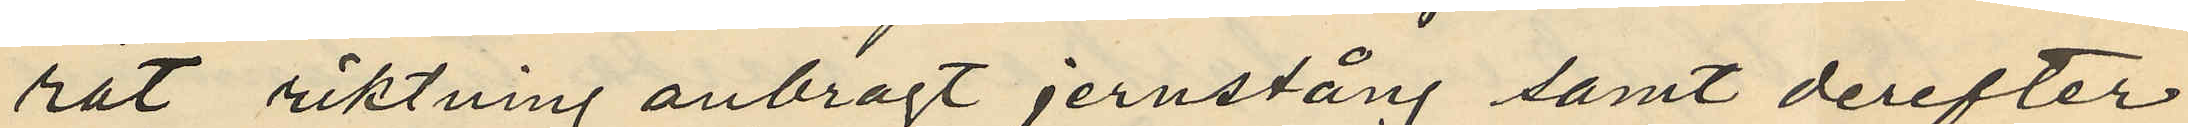rät riktning anbragt jernstång samt derefter
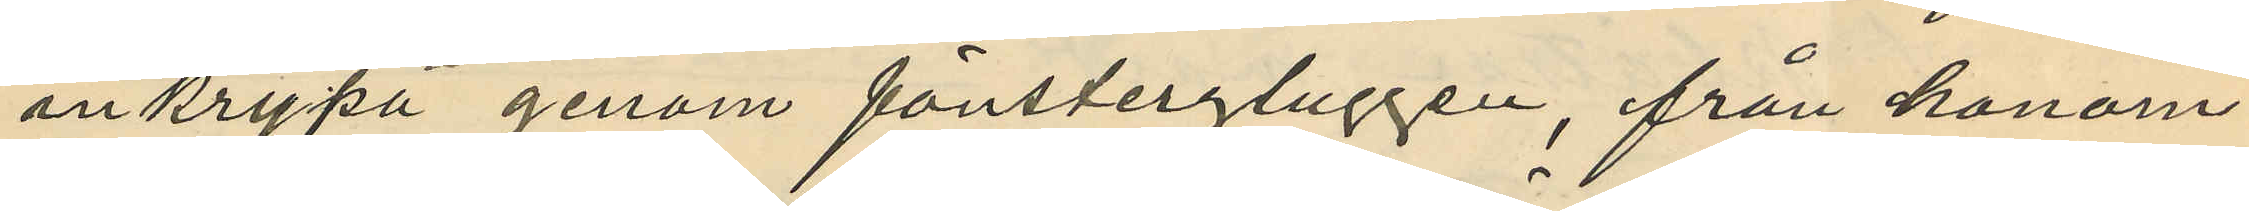inkrypa genom fönstergluggen, från honom
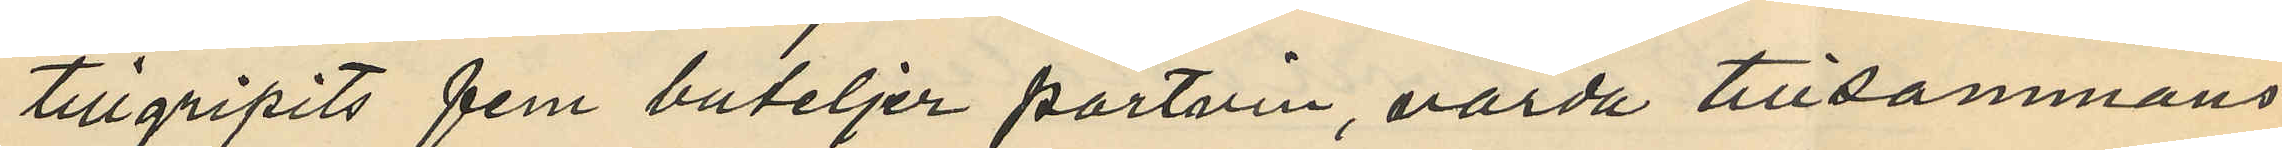tillgripits fem buteljer portvin, värda tillsammans
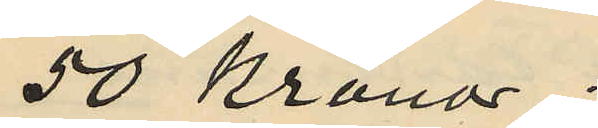50 Kronor.
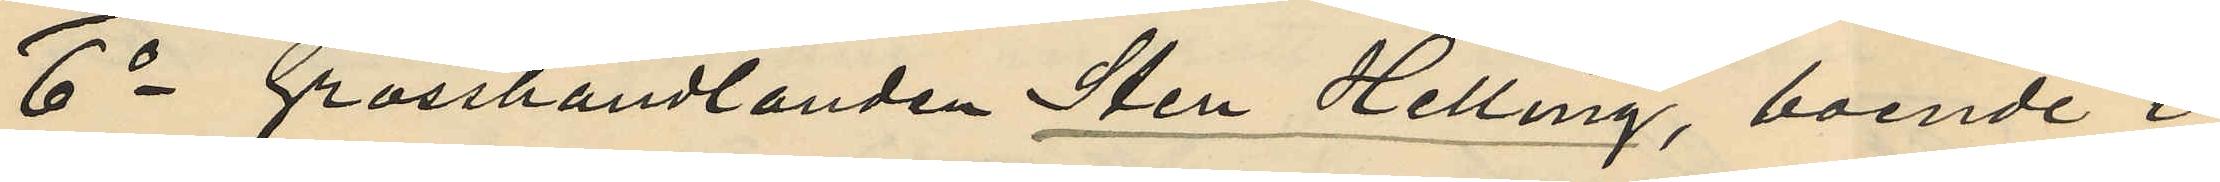6o Grosshandlanden Sten Helling, boende i
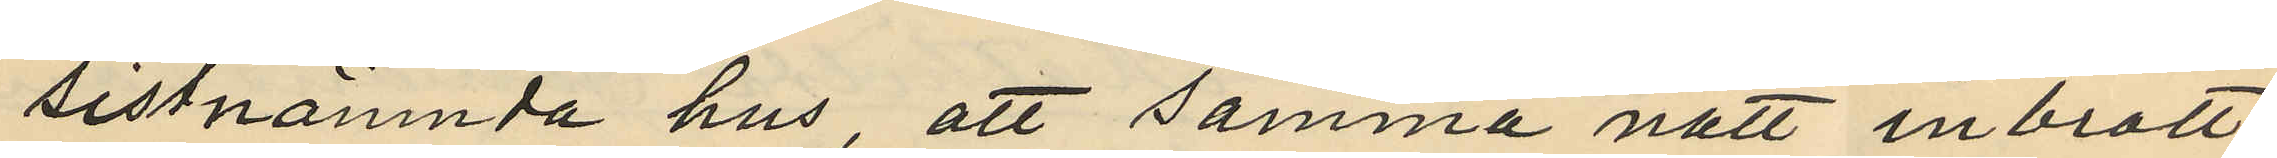sistnämnda hus att samma natt inbrott
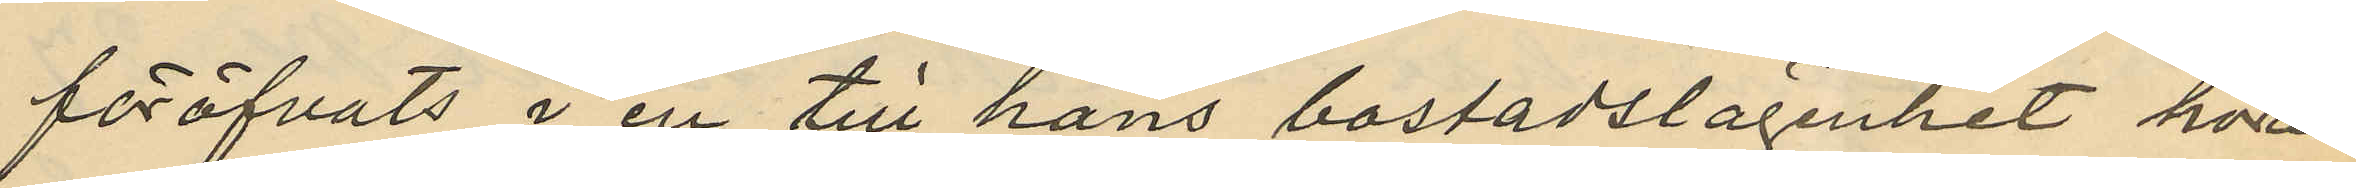föröfvats i en till hans bostadslägenhet höran¬
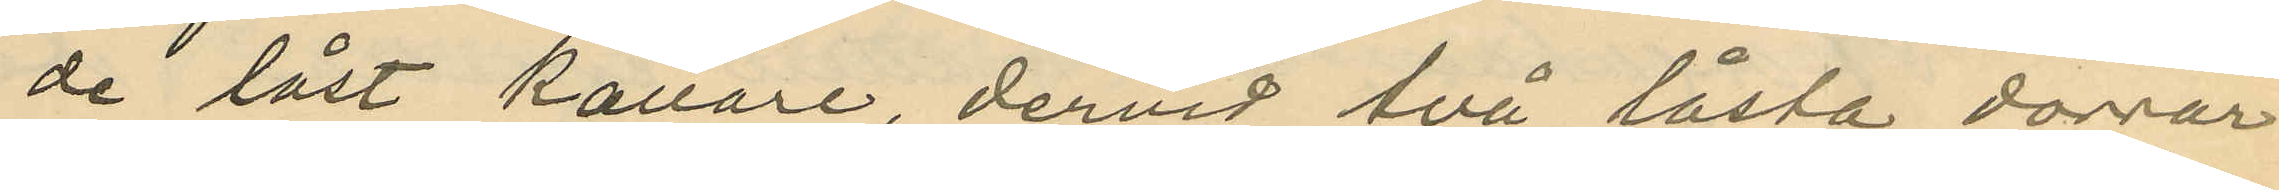de låst källare, dervid två låsta dörrar
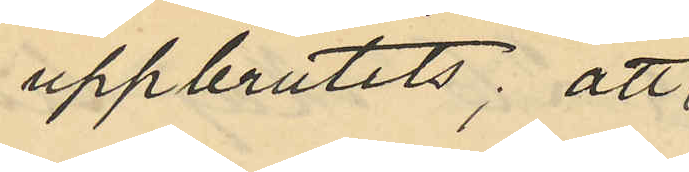uppbrutits; att
